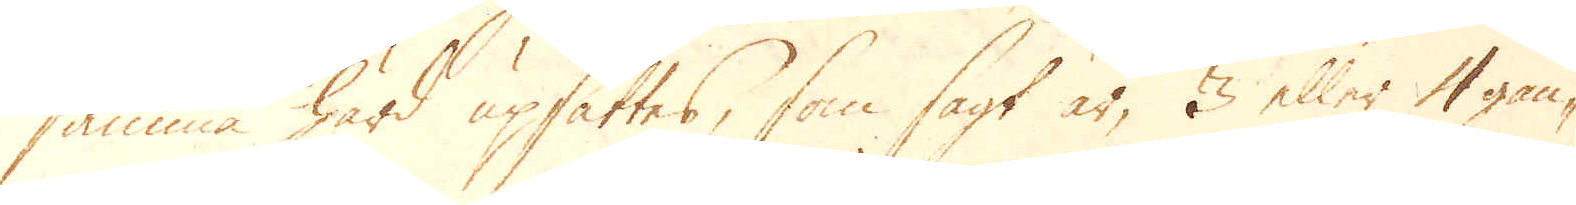samma härd upsättes, som sagt är, 3 eller 4 gån-
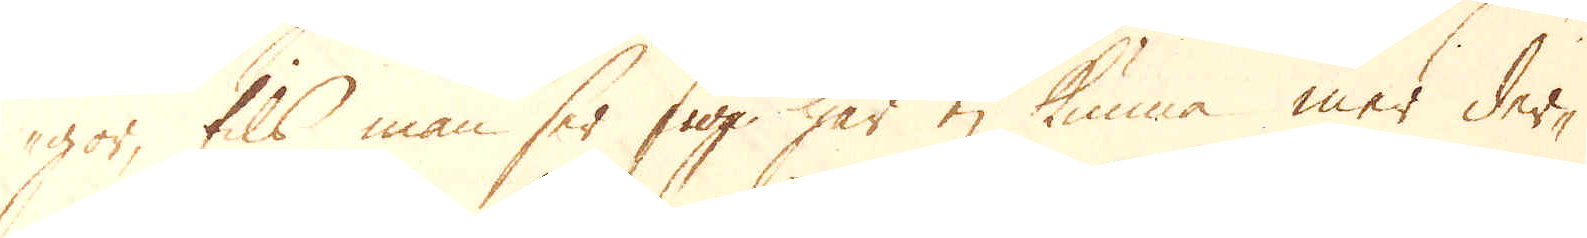gor, tils man ser sig här ej kunna mer der-
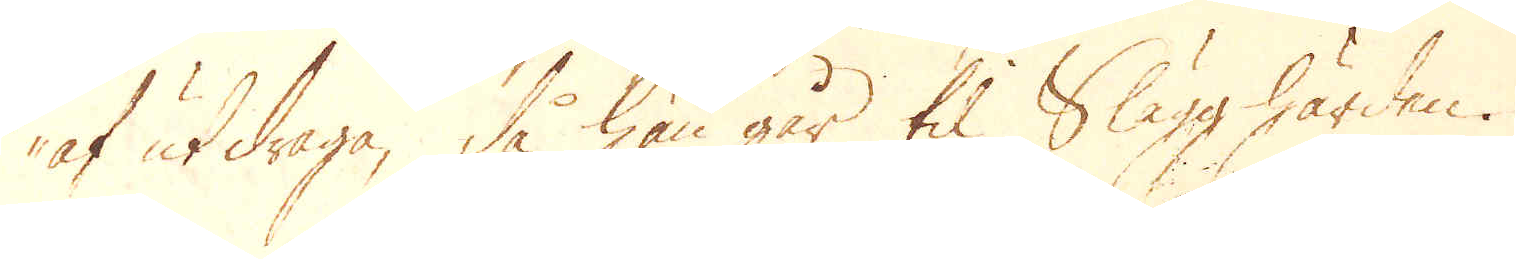af utdraga, då han går til Slagghärden.
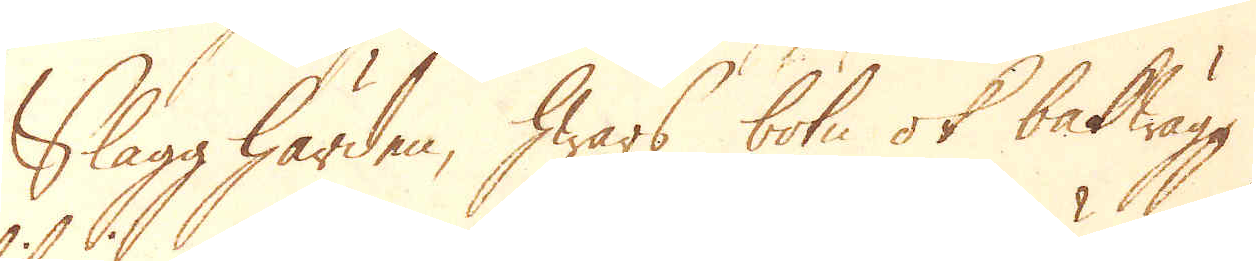Slagghärden, hwars botn ok bakwägg
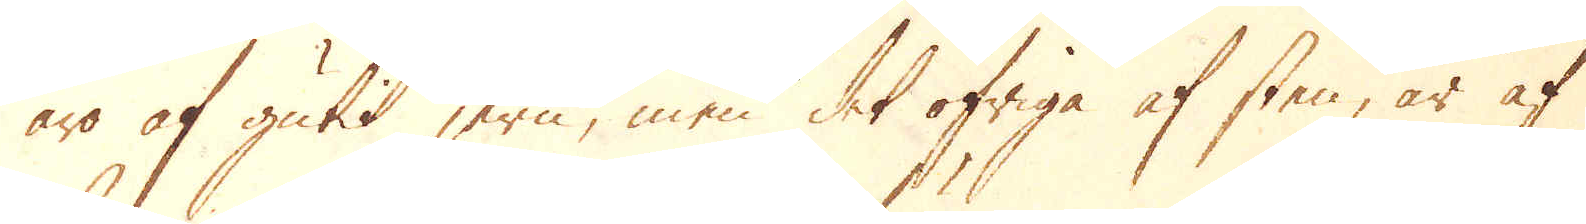äro af gutit jern, men det öfriga af sten, är af
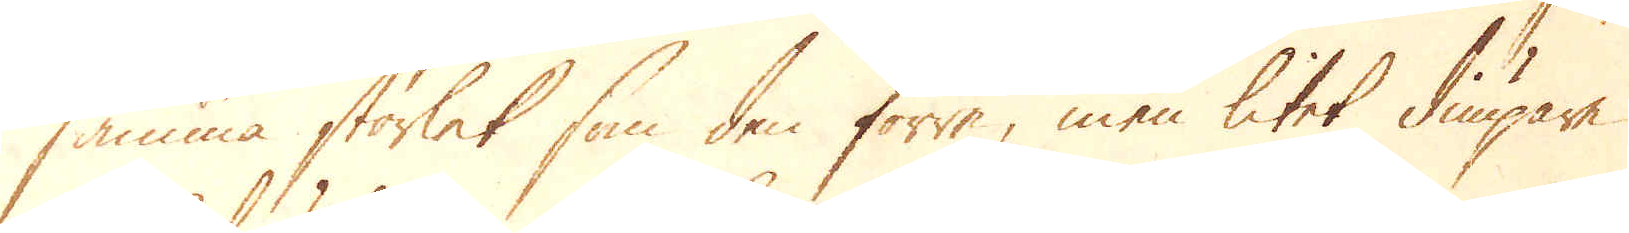samma storlek som den förra, men litet diupare
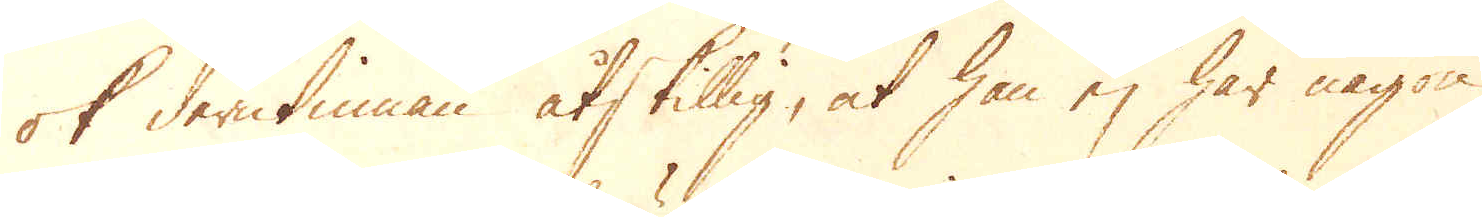ok derutinnan åtskillig, at han ej har någon
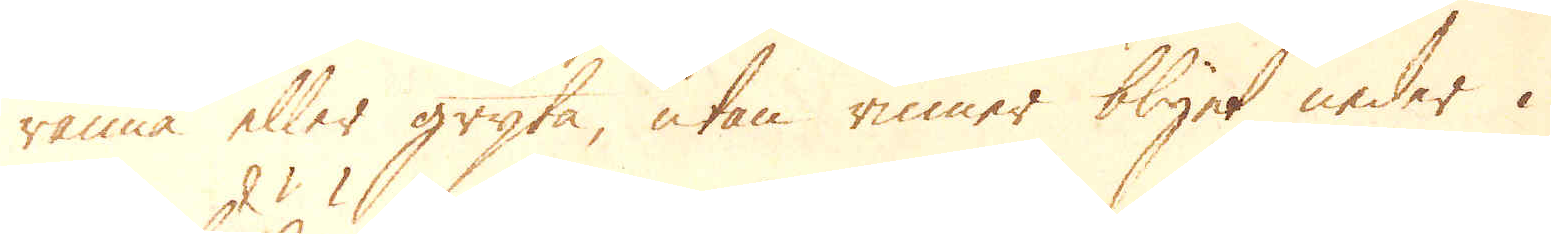ränna eller gryta, utan rinner blyet neder i
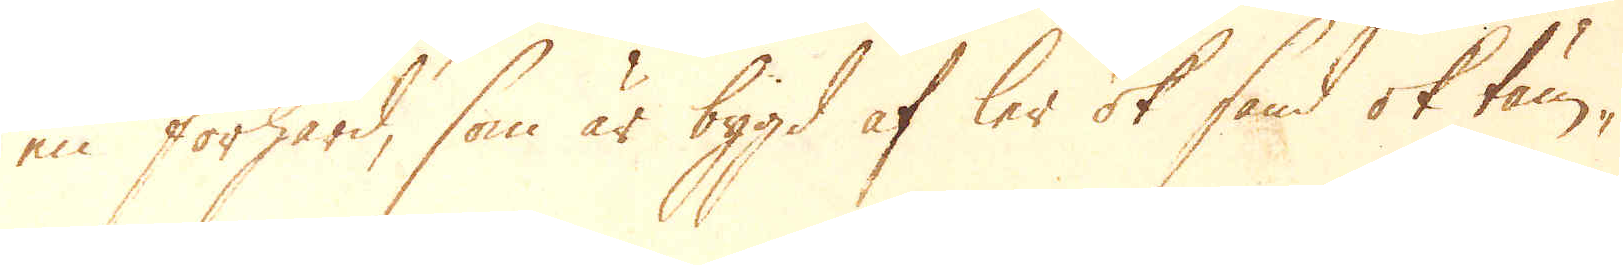en förhärd, som är bygd af ler ok sand ok täm-
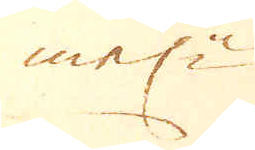meli:n
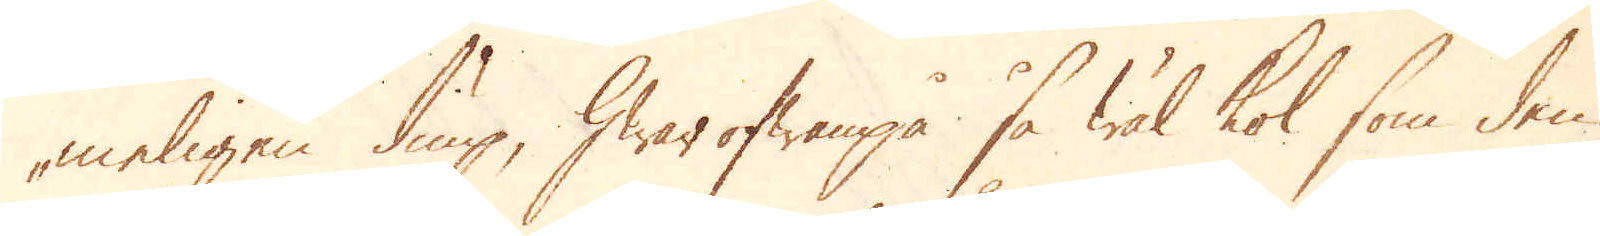meligen diup, Hwar ofwanpå, så wäl kol som den
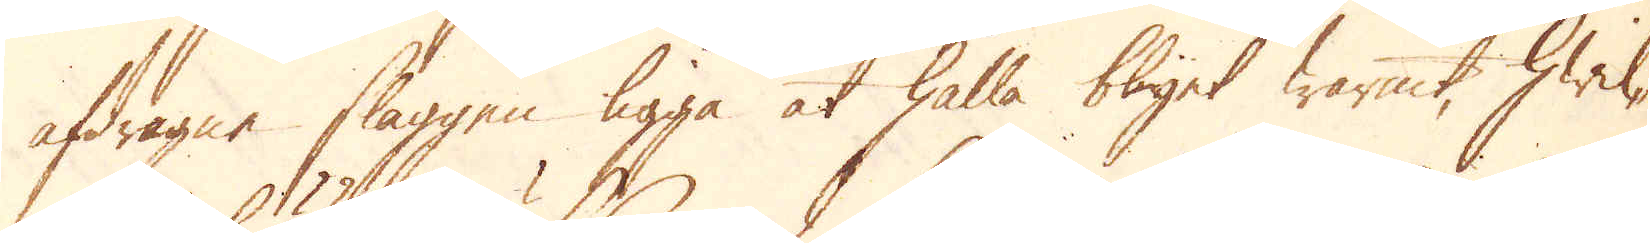afdragne slaggen ligga at hålla blyet warmt, hwil-
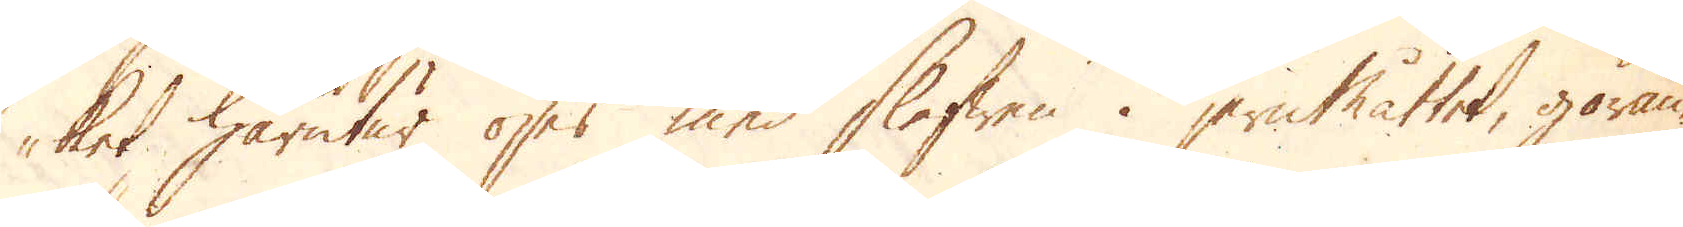iket, härutur öses med Slefwen i jernmåttet, göran-
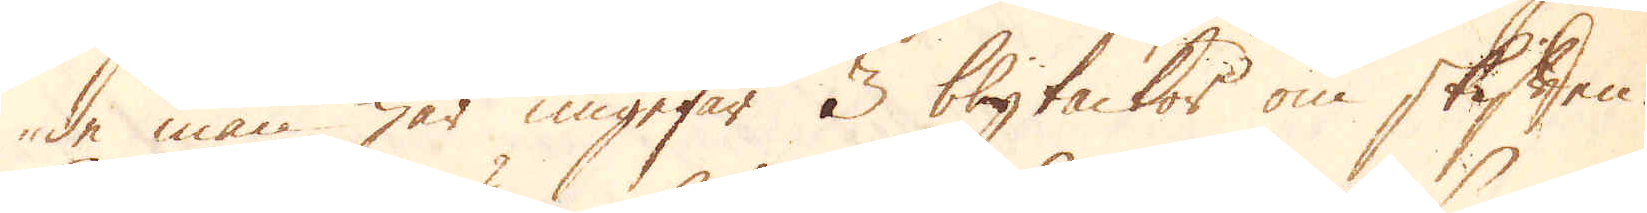de man här ungefär 3 blytackor om skiften.
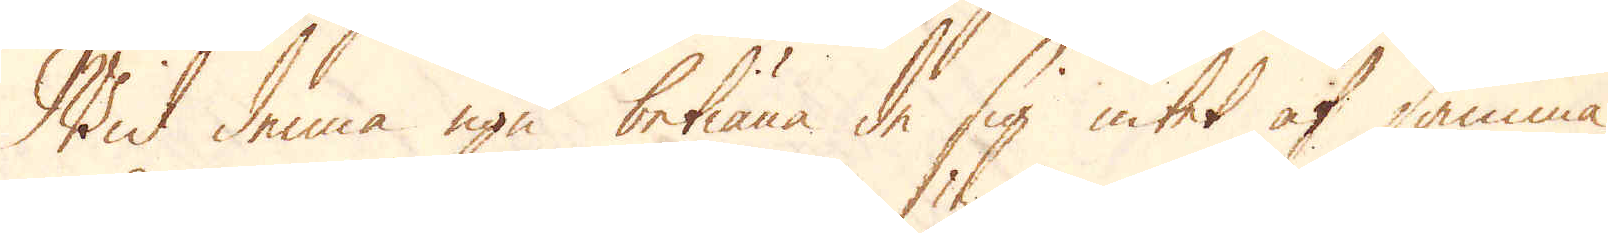Wid denna ugn betiäna de sig intet af samma
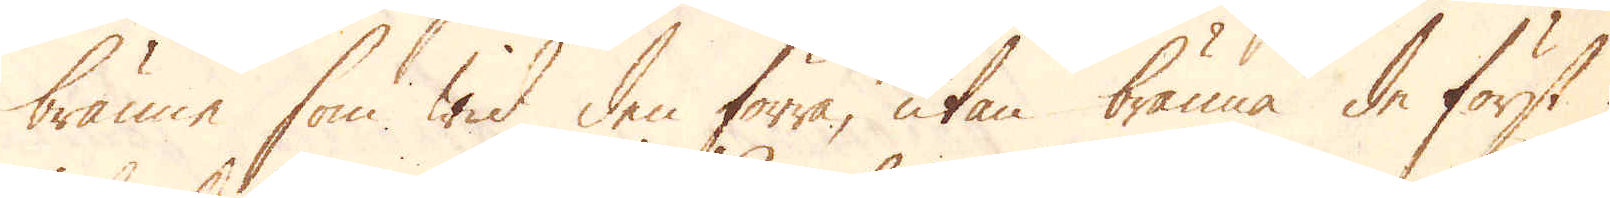bränne, som wid den förra, utan bränna de först
